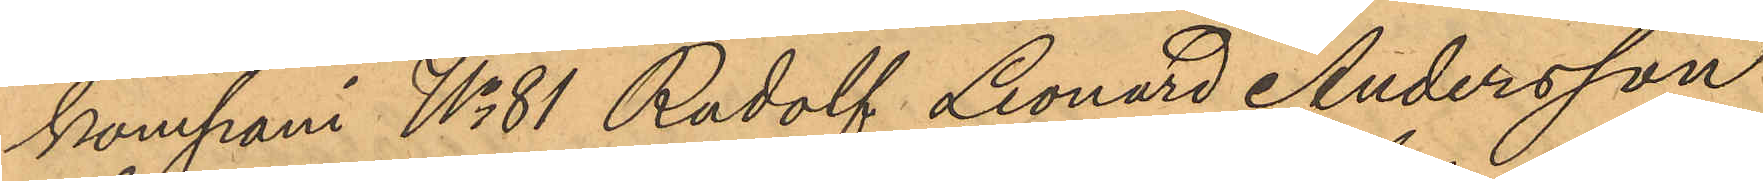kompani No 81 Rudolf Leonard Andersson
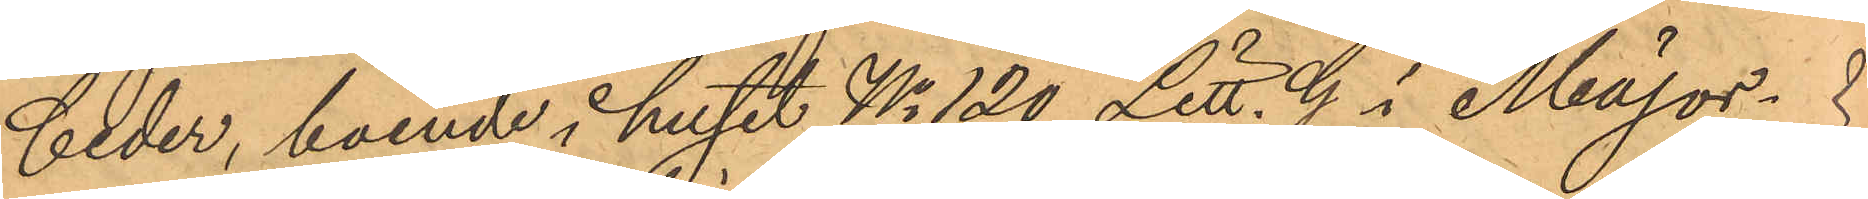Ceder, boende i huset No 120 Litt. G i Major¬
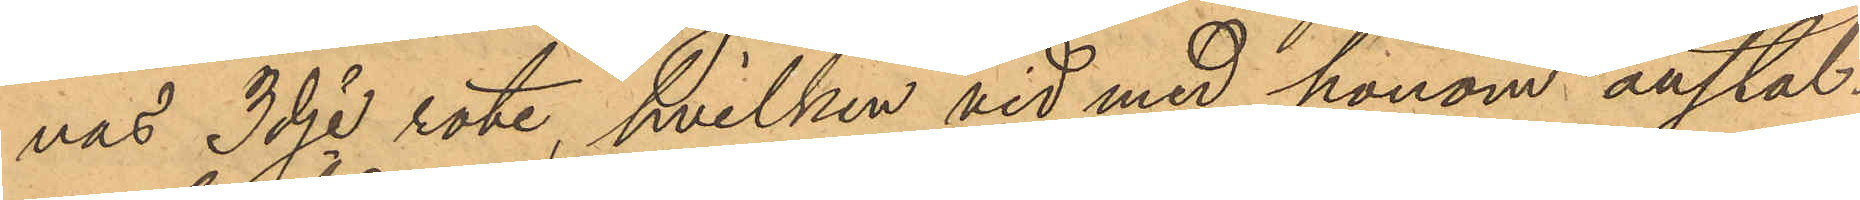nas 3dje rote, hvilken vid med honom anstäl¬
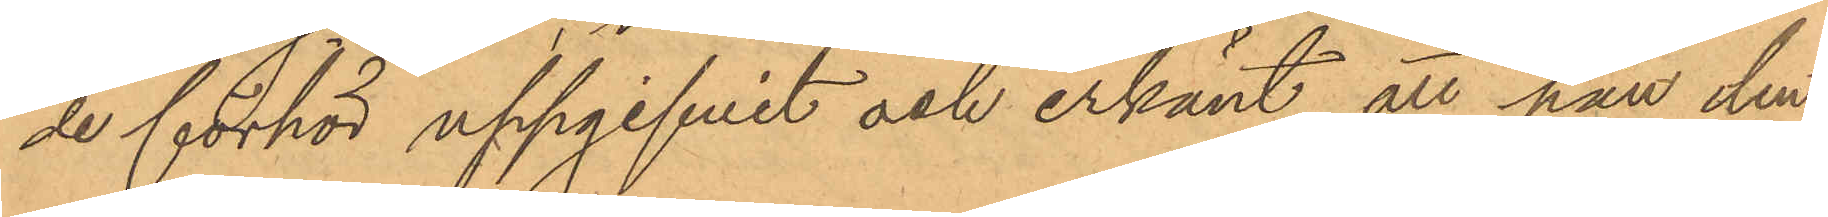de förhör uppgifvit och erkänt, att han den
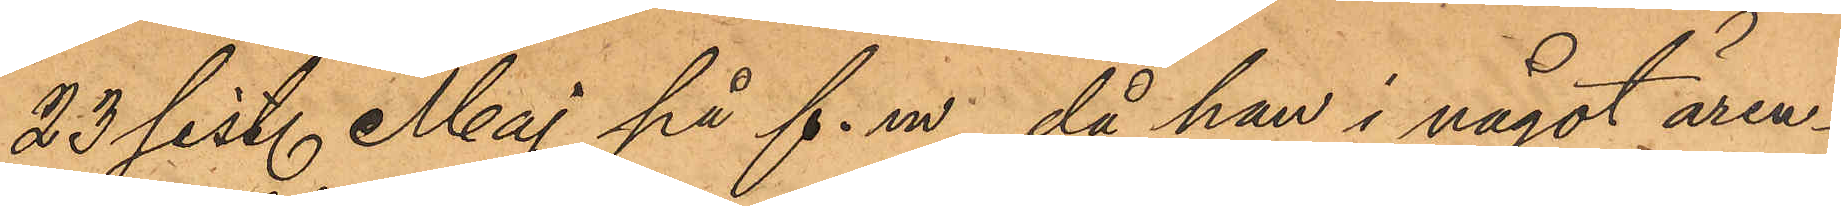23 sist. Maj på f. m, då han i något ären¬
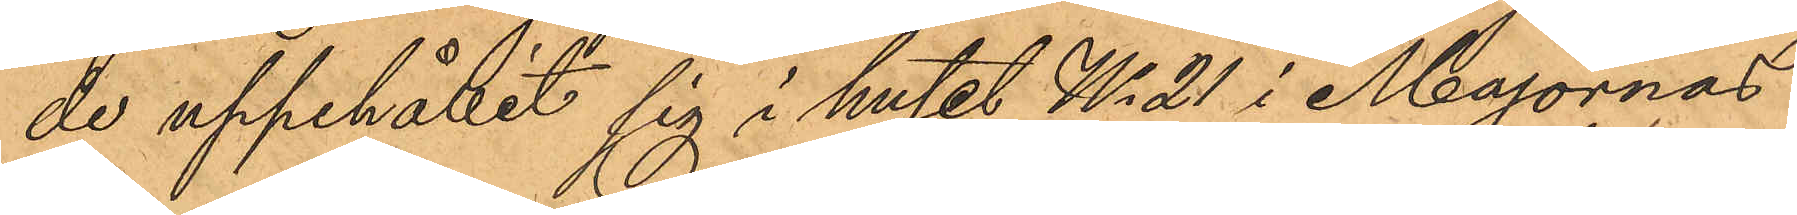de uppehållit sig i huset No 21 i Majornas
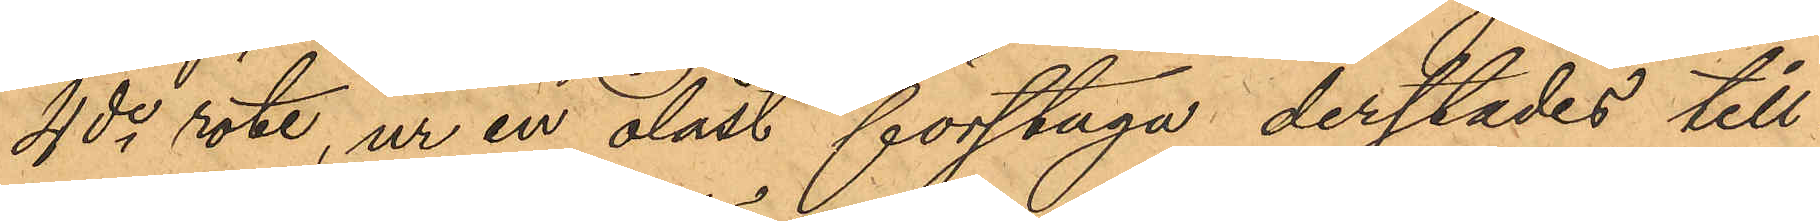4de rote, ur en olåst förstuga derstädes till
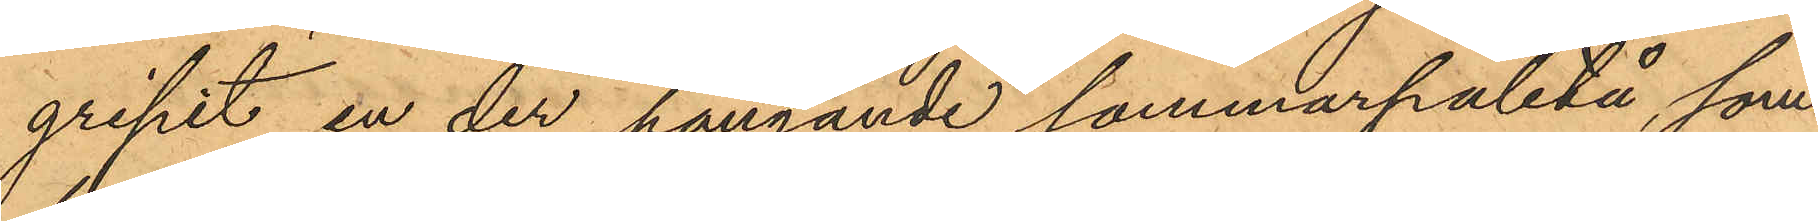gripit en der hängande sommarpaletå, som
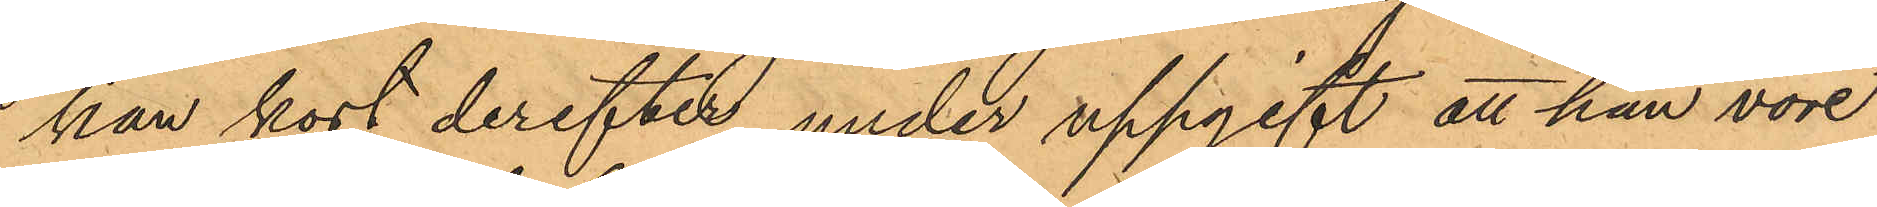han kort derefter, under uppgift att han vore
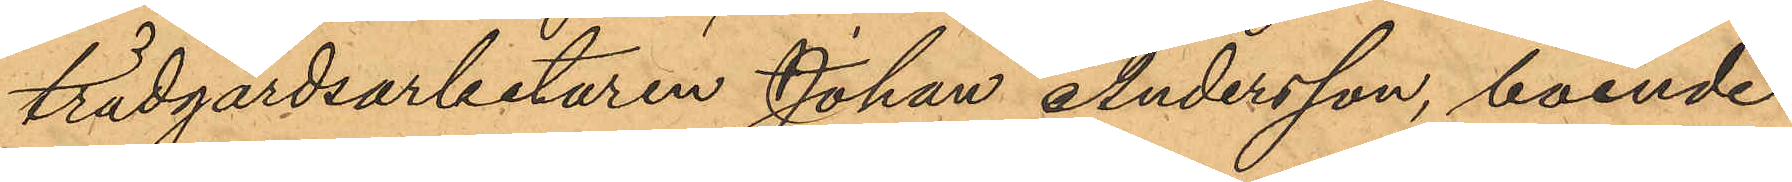trädgårdsarbetaren Johan Andersson, boende
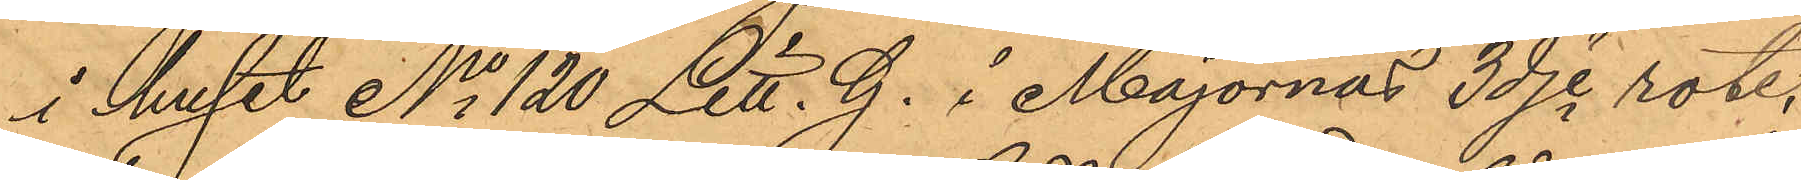i huset No 120 Litt. G. i Majornas 3dje rote,
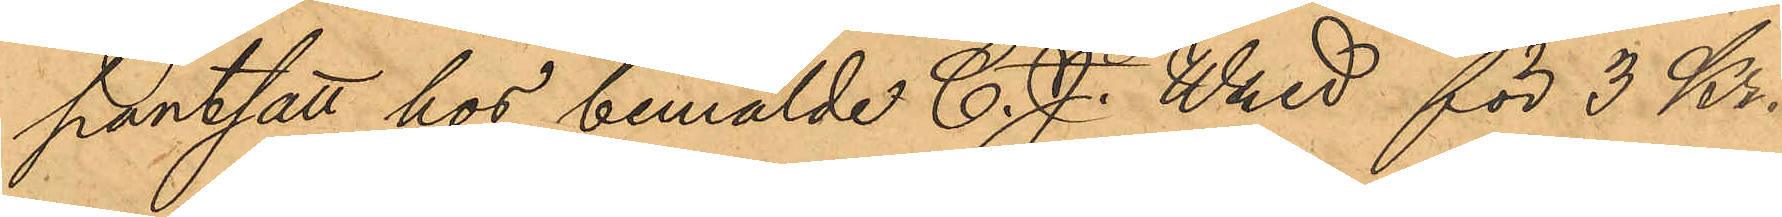pantsatt hos bemälde C. J. Wred för 3 Kr.
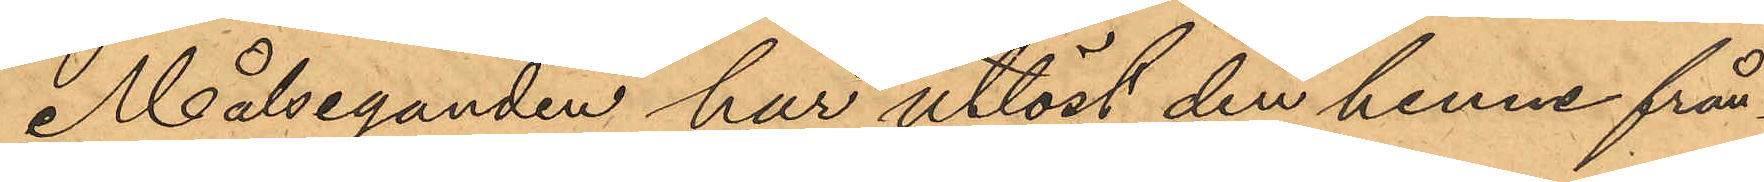Målseganden har utlöst den henne från¬
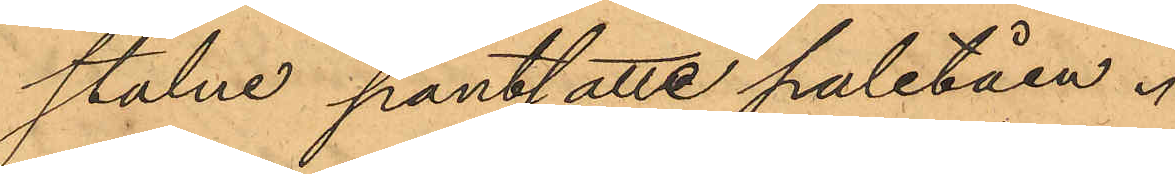stulne pantsatte paletåen.
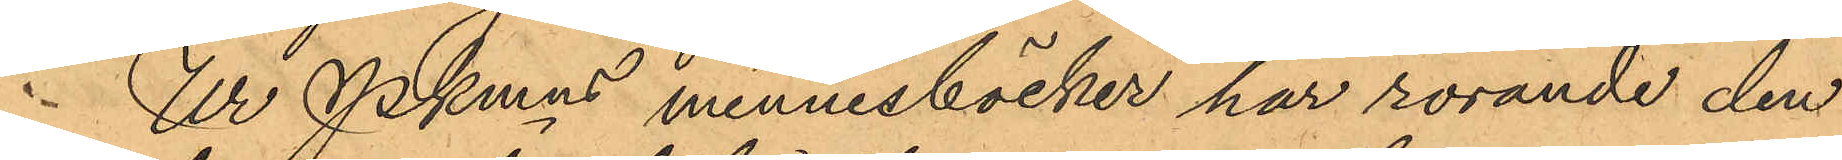Ur Pkmns minnesböcker har rörande den
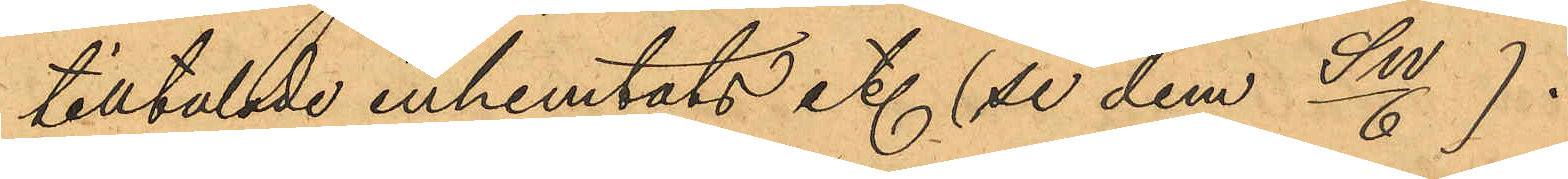tilltalade inhemtats et. (se dem Sn/6).
